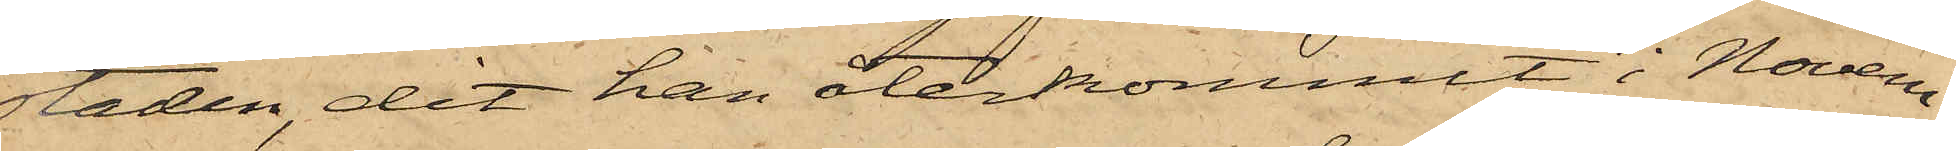Staden, dit han återkommit i Novem¬
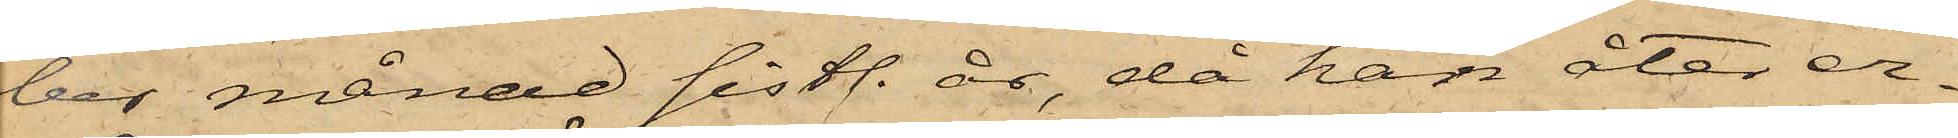ber månad sistl. år, då han åter er¬
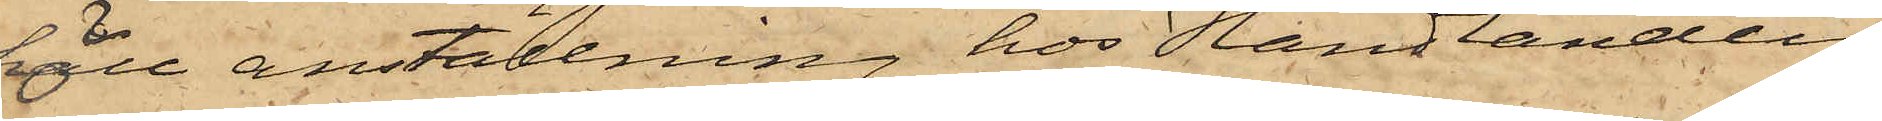höll anställning hos Handlanden
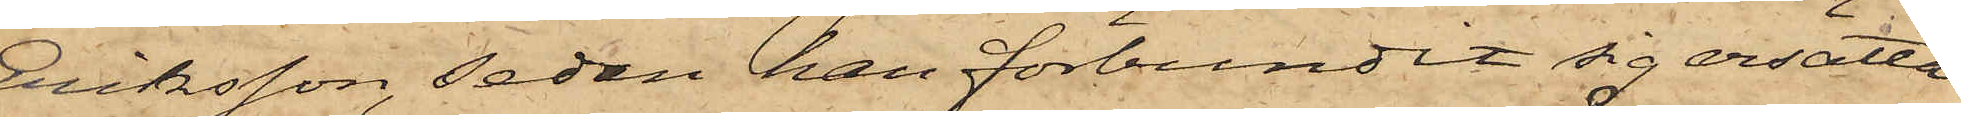Eriksson, sedan han förbundit sig ersätta
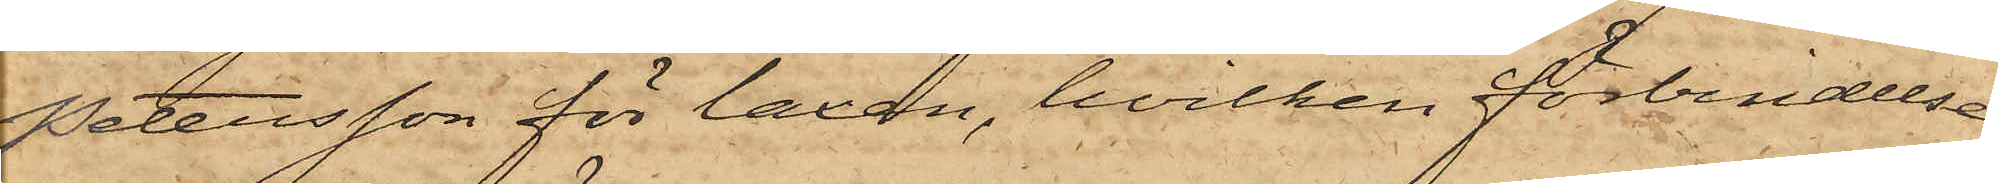Petersson för laxen, hvilken förbindelse
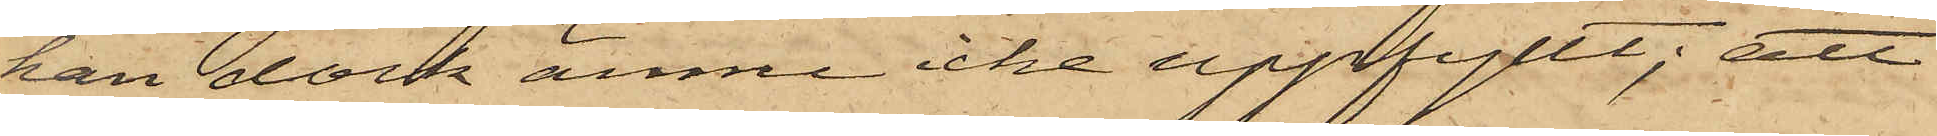han dock ännu icke uppfyllt; att
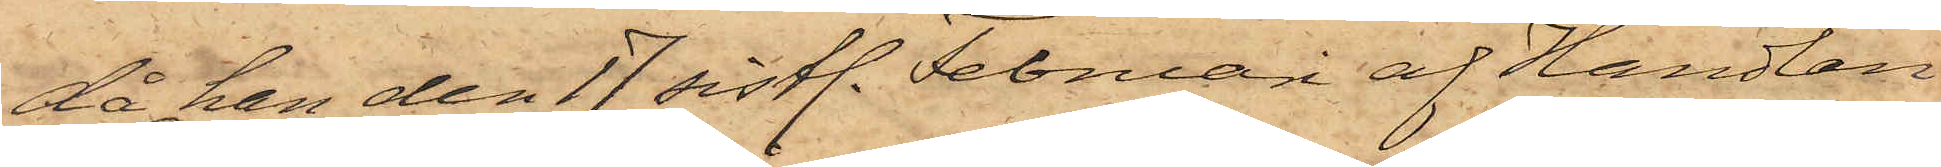då han den 17 sistl. Februari af Handlan¬
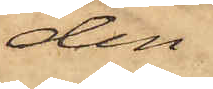den
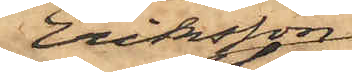Eriksson
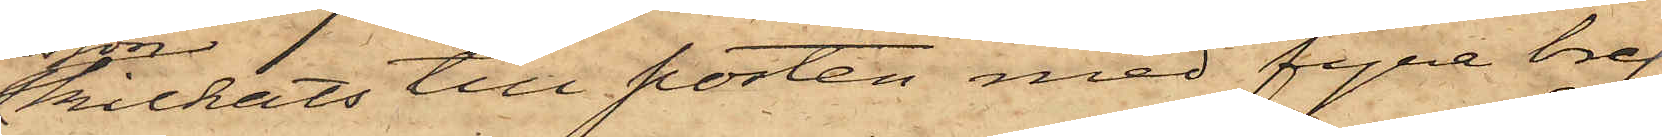skickats till posten med fyra bref
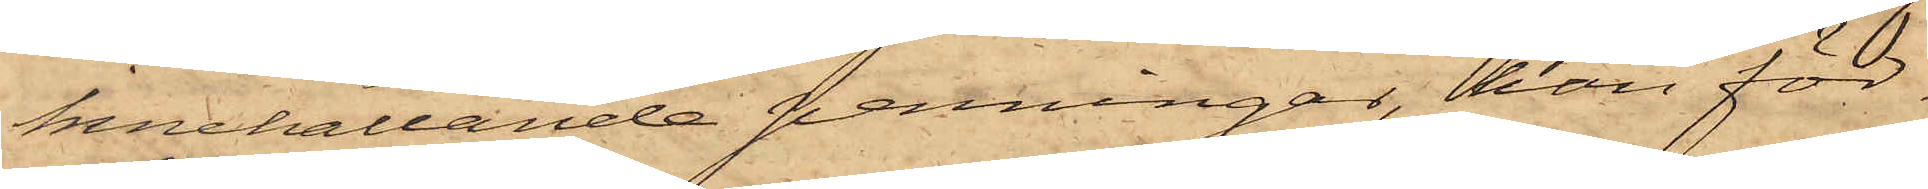innehållande penningar, han för¬
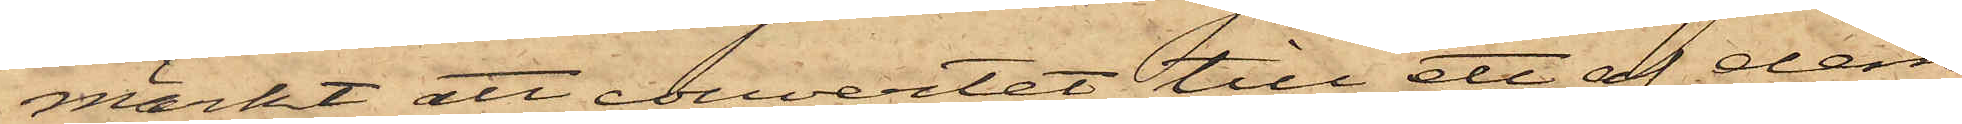märkt att couvertet till ett af dem
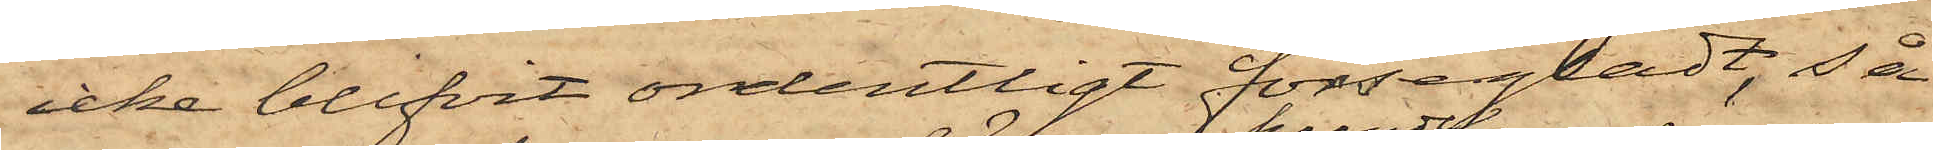icke blifvit ordentligt försegladt, så
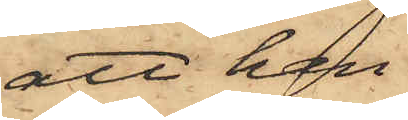att han
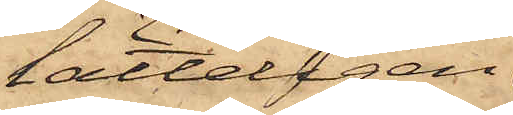lätteligen
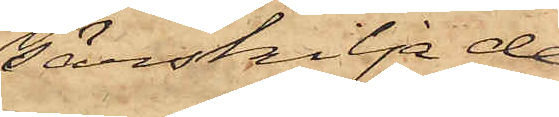särskilja de
